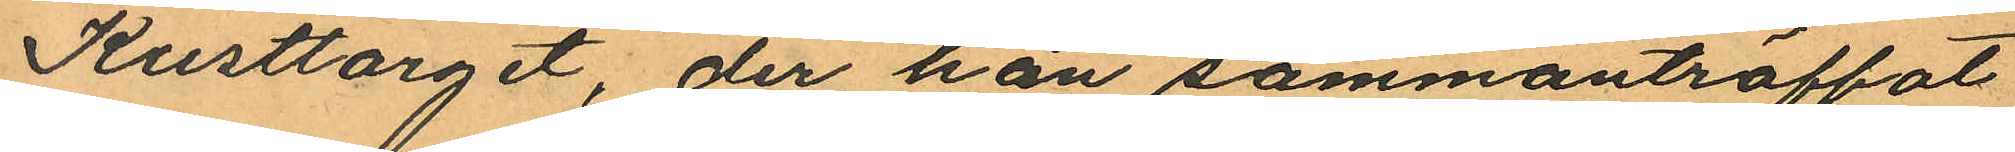Kusttorget, der han sammanträffat
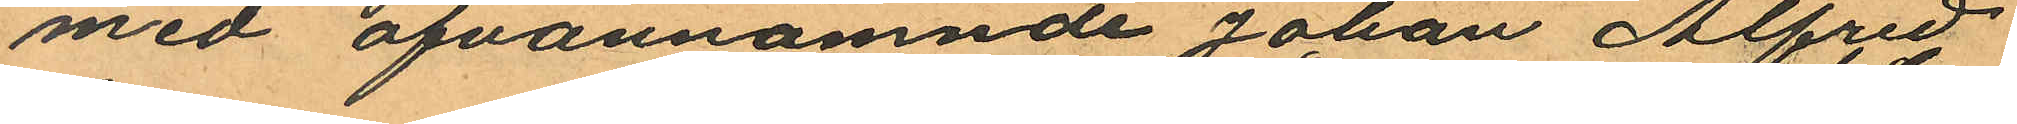med ofvannämnde Johan Alfred
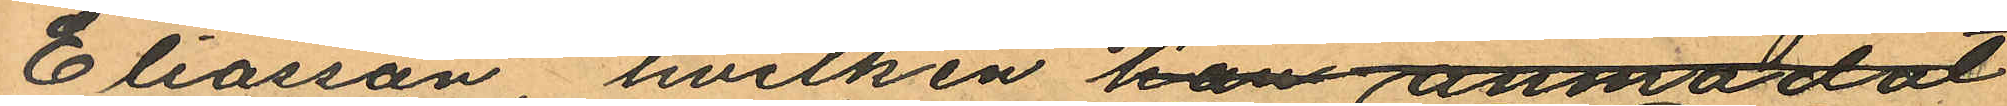Eliasson hvilken han anmodat
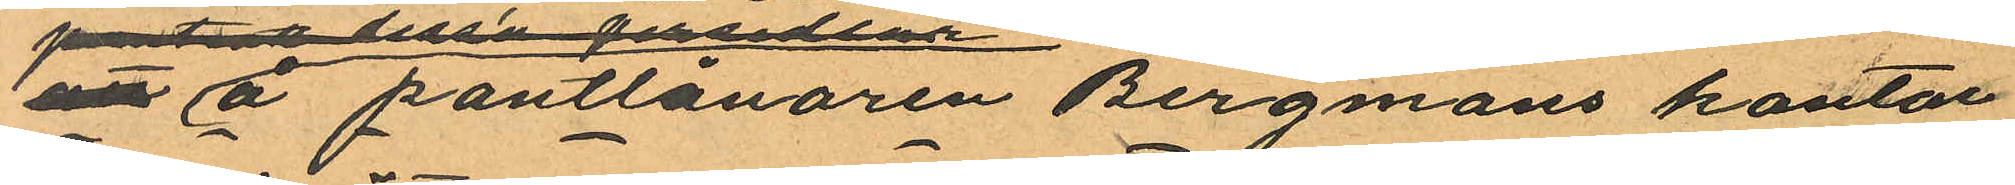att å pantlånaren Bergmans kontor
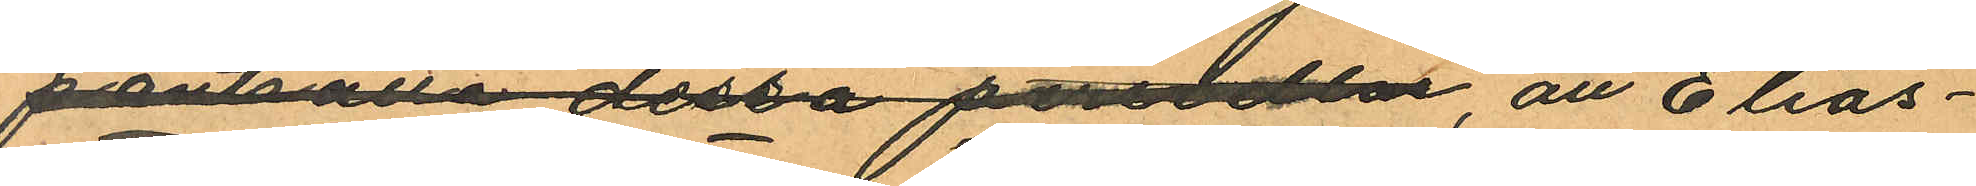pantsätta dessa persedlar, att Elias¬
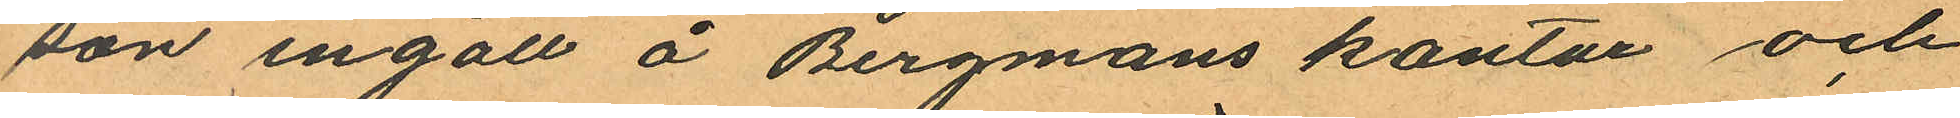son ingått å Bergmans kontor och
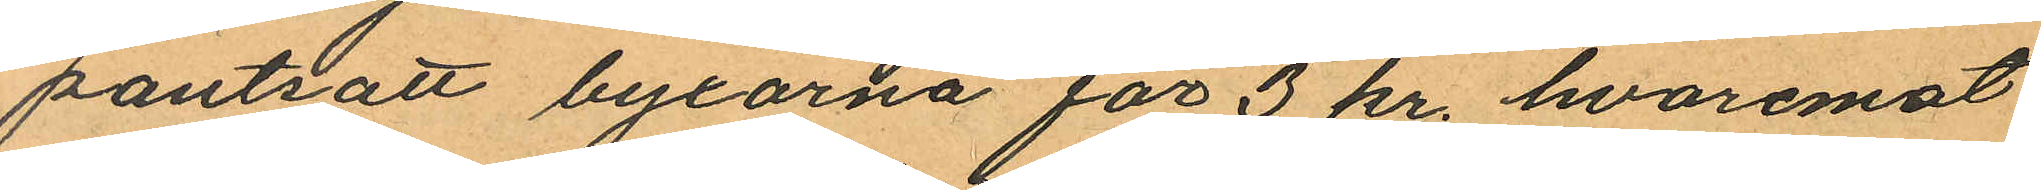pantsatt byxorna för 3 kr. hvaremot
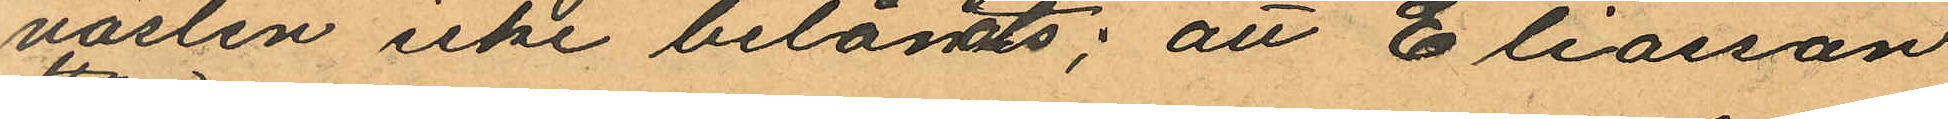västen icke belånats; att Eliasson
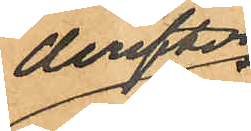derefter
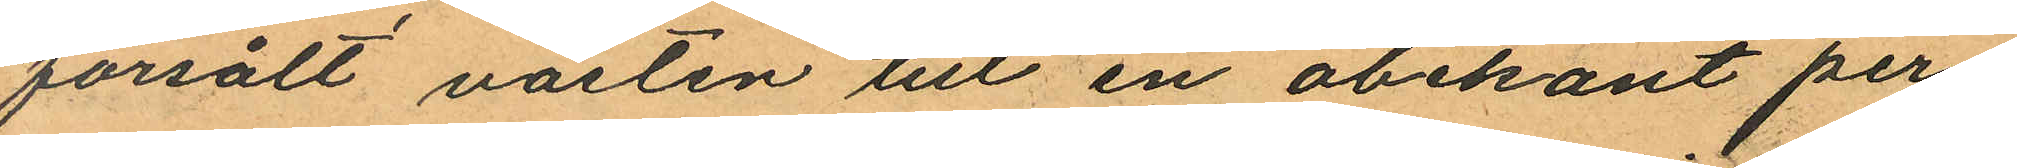försålt västen till en obekant per¬
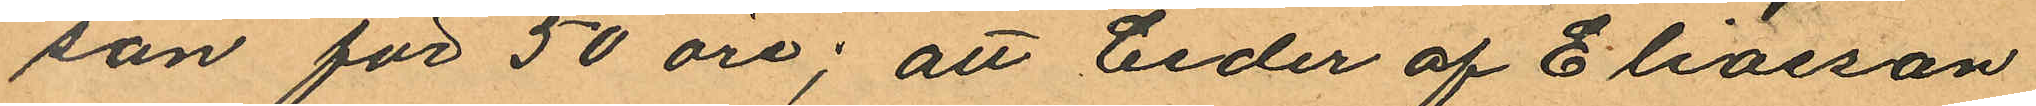son för 50 öre; att Ceder af Eliasson
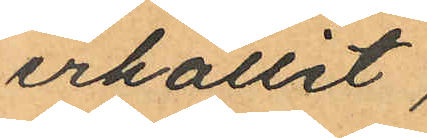erhållit
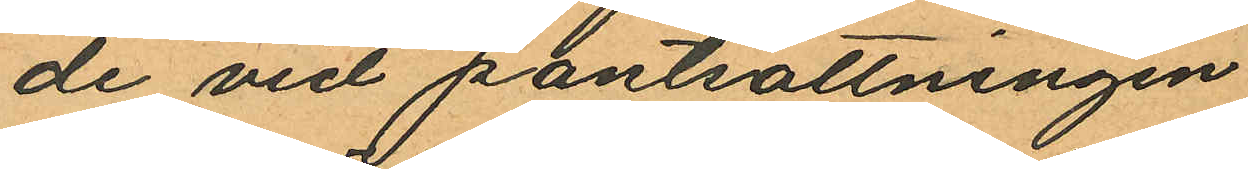de vid pantsättningen
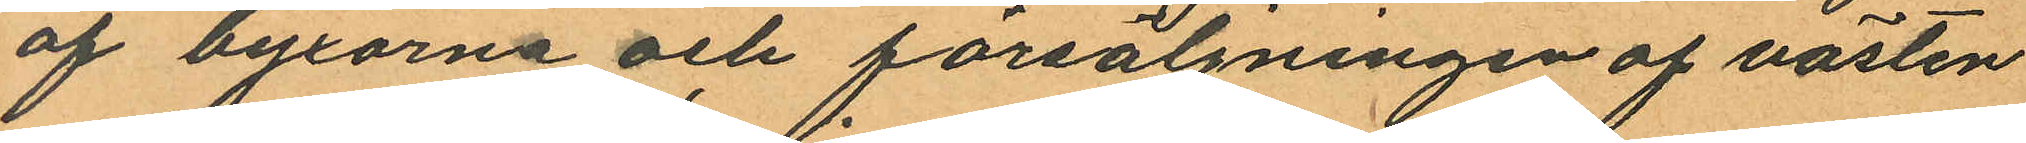af byxorna och försäljningen af västen
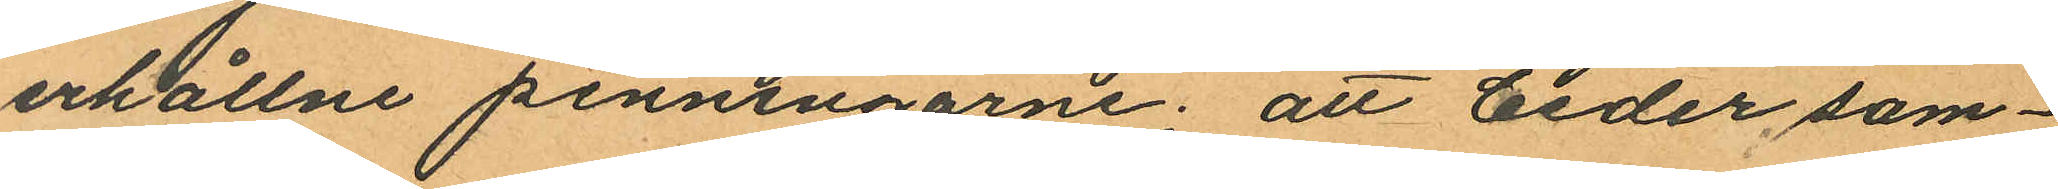erhållne penningarne; att Ceder sam¬
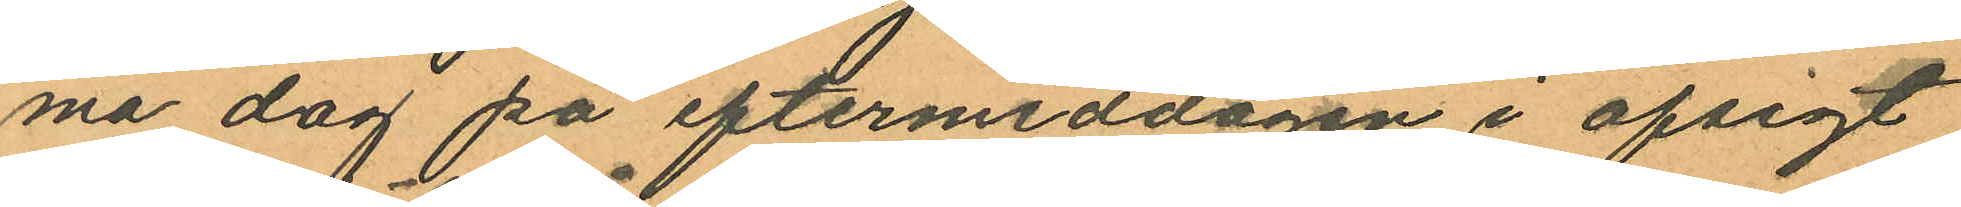ma dag på eftermiddagen i afsigt
